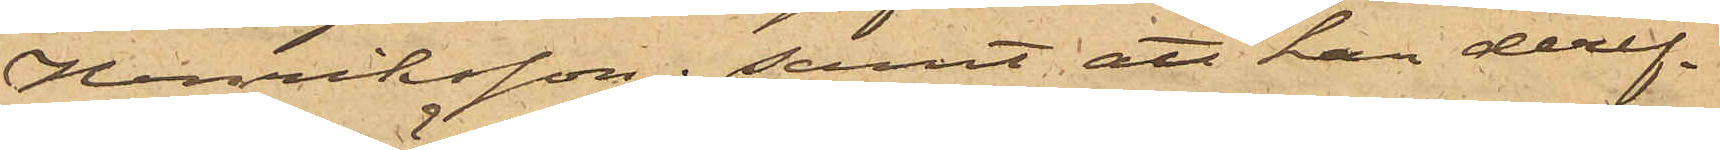Henriksson; samt att han deref¬
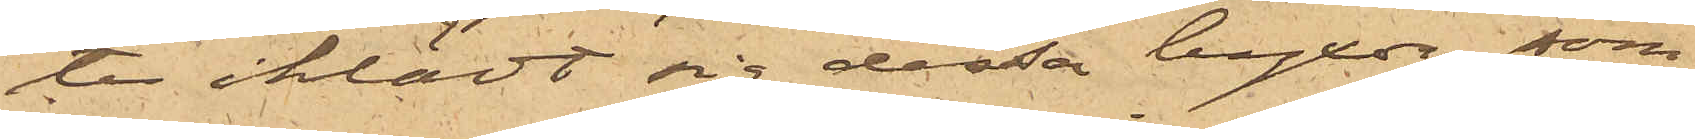ter iklädt sig dessa byxor, som
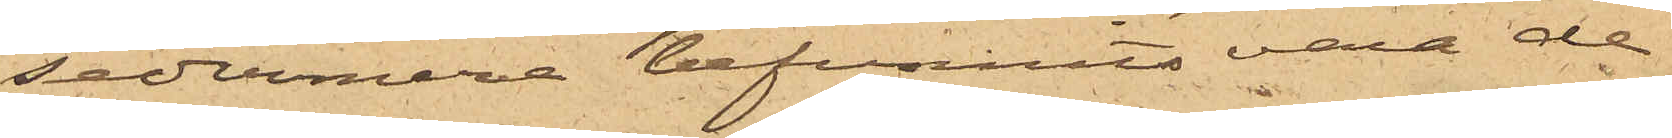sedermera befunnits vara de
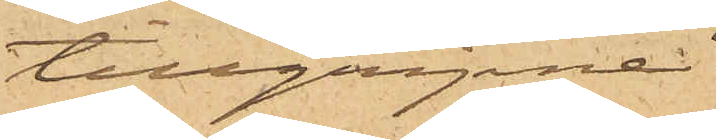tillgripna.
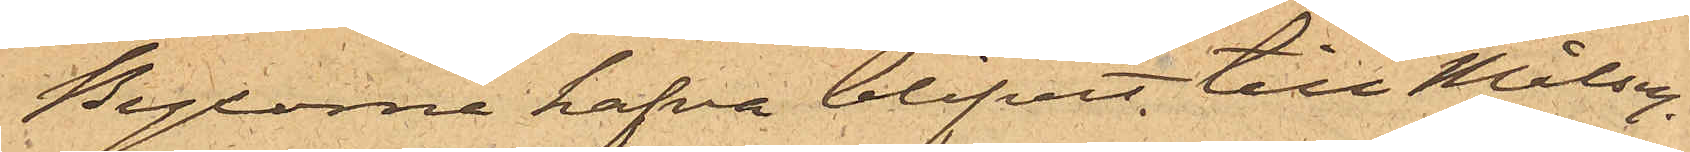Byxorna hafva blifvit till Målseg.
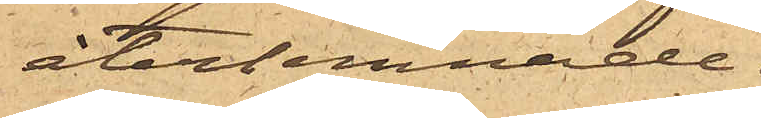återlemnade.
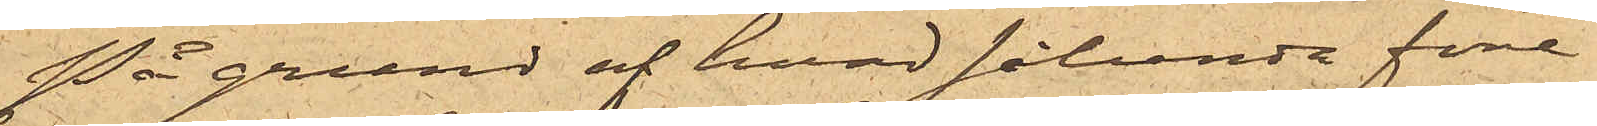På grund af hvad sålunda före¬
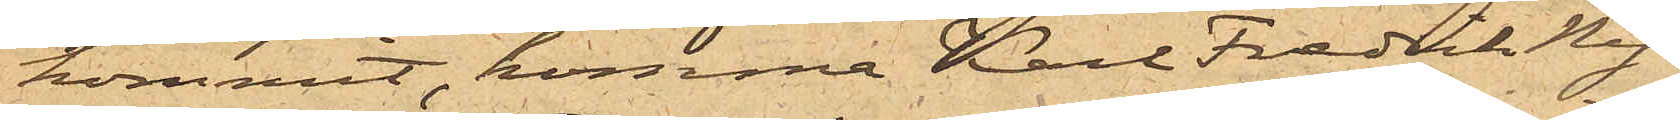kommit, komma Karl Fredrik Ny¬
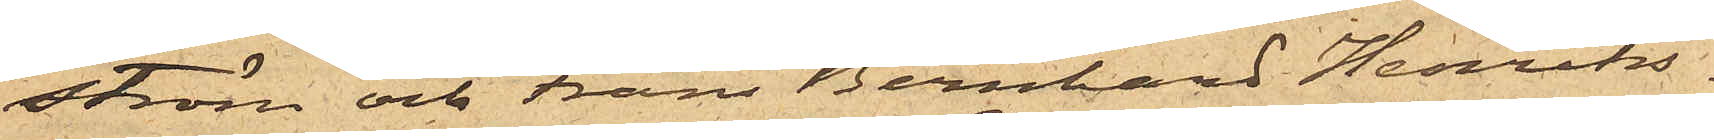ström och Frans Bernhard Henriks¬
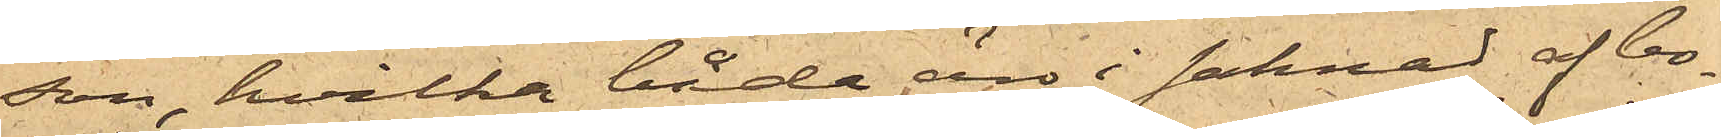son, hvilka båda äro i saknad af bo¬
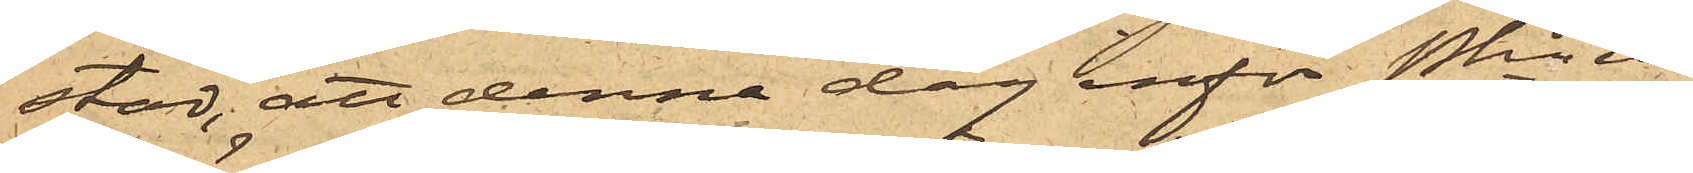stad, att denna dag inför Pkn in¬
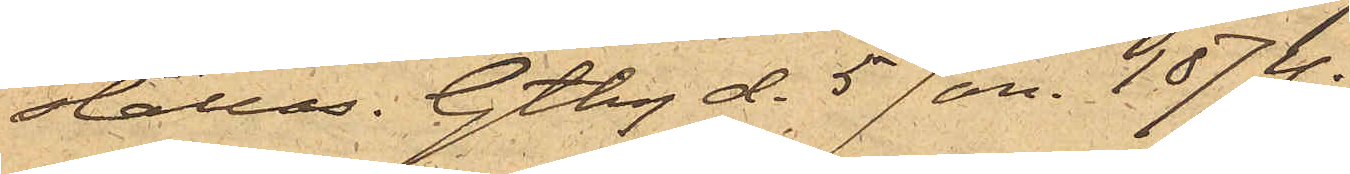ställas. Gtbg d. 5 Jan. 1874.
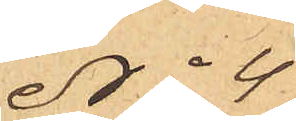No 4
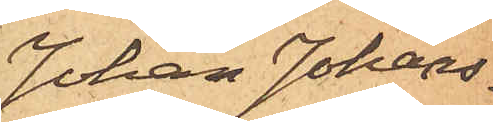Johan Johans¬
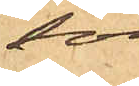son.
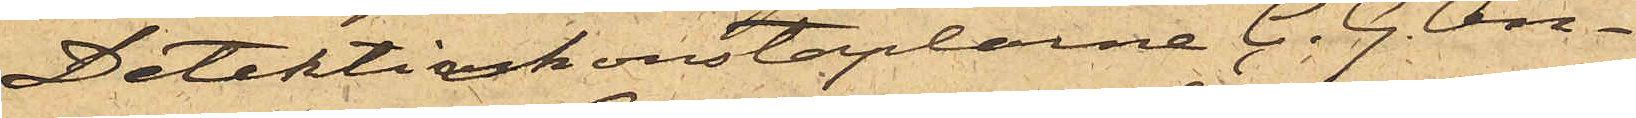Detektivkonstaplarne C. G. An¬
